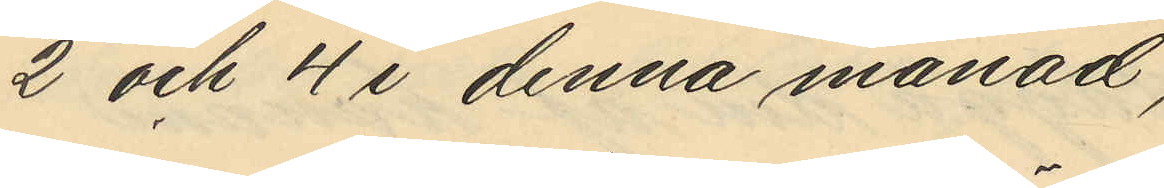2 och 4 i denna månad,
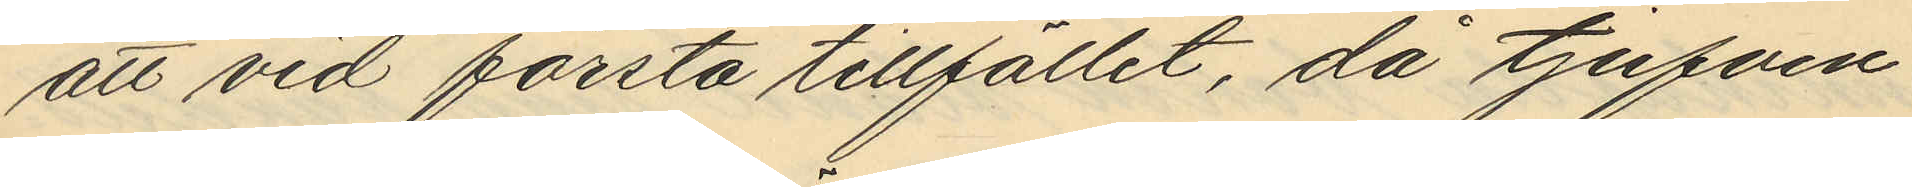att vid första tillfället, då tjufven
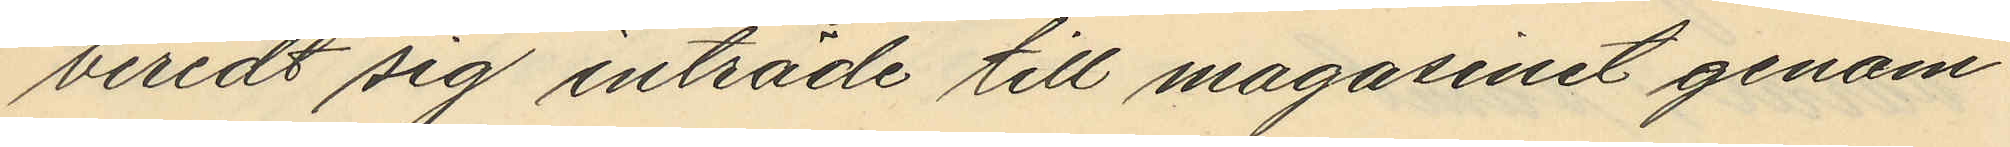beredt sig inträde till magasinet genom
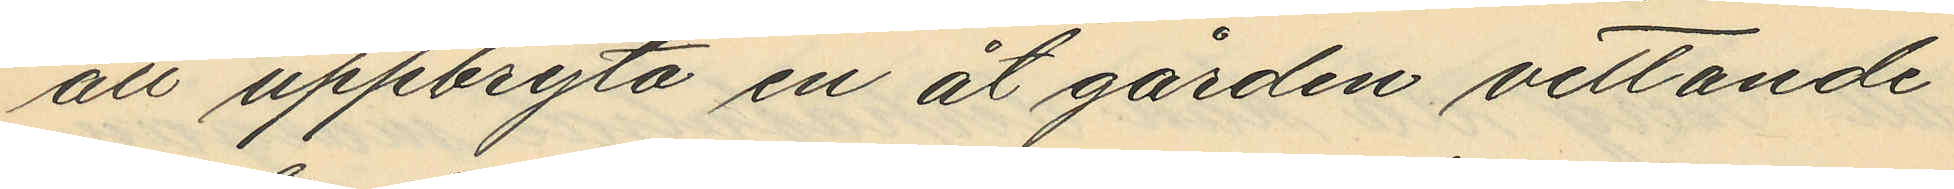att uppbryta en åt gården vettande
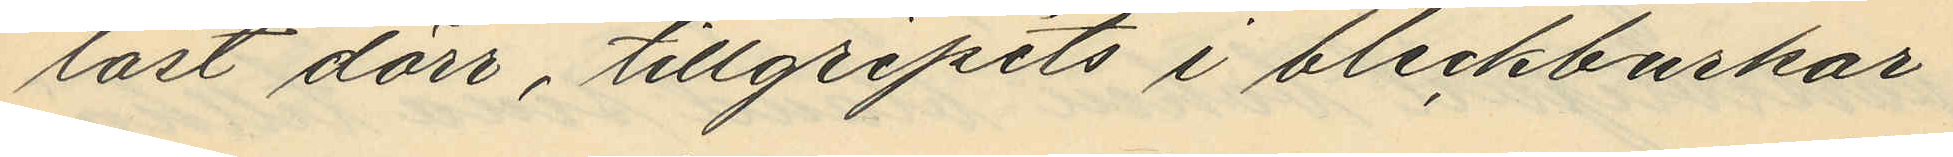låst dörr, tillgripits i bleckburkar
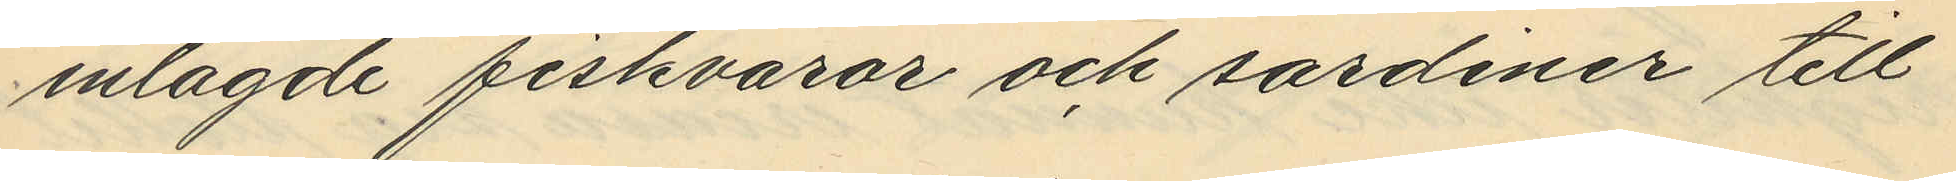inlagde fiskvaror och sardiner till
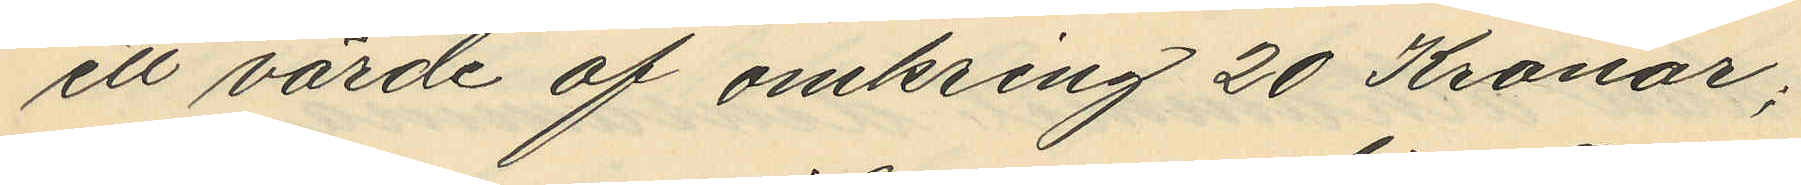ett värde af omkring 20 Kronor;
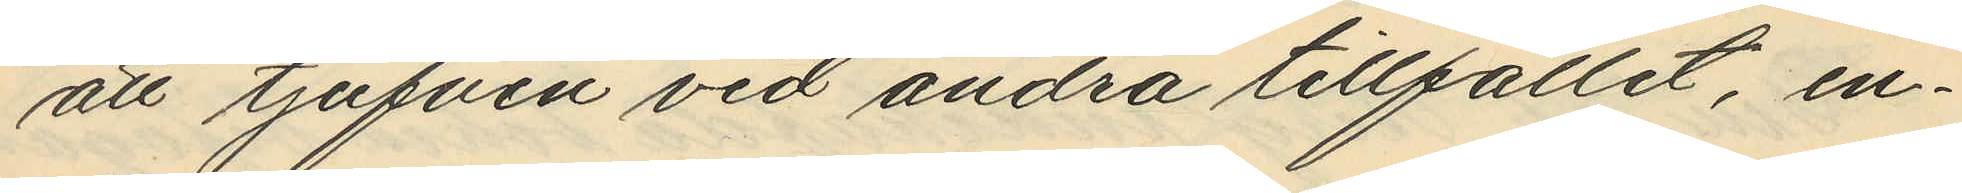att tjufven vid andra tillfället, en¬
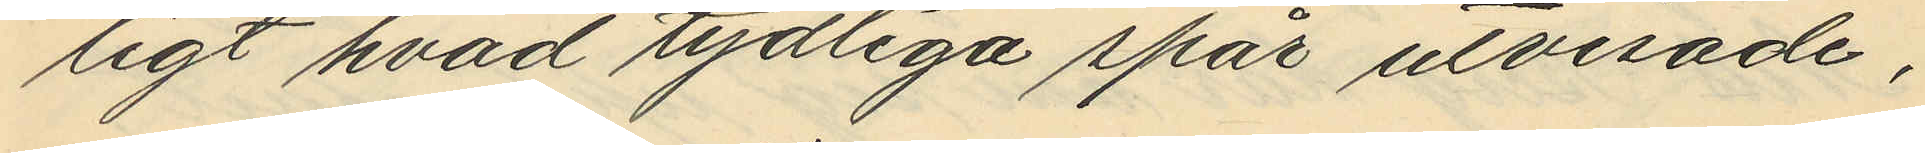ligt hvad tydliga spås utvisade,
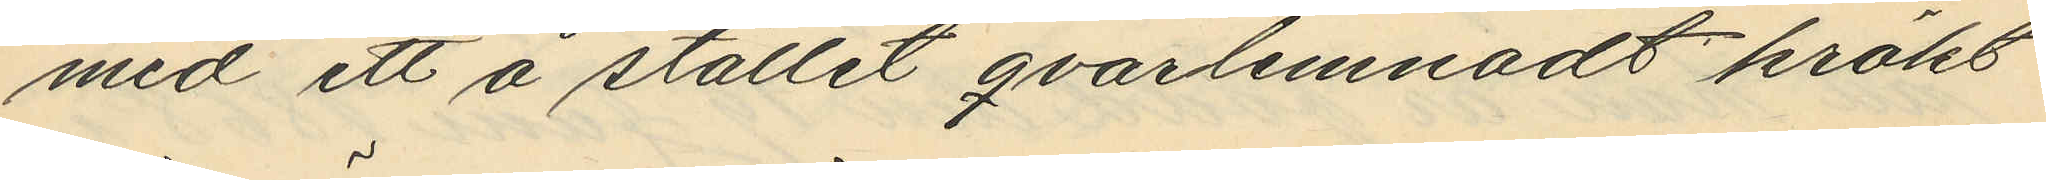med ett å stället qvarlemnadt krökt
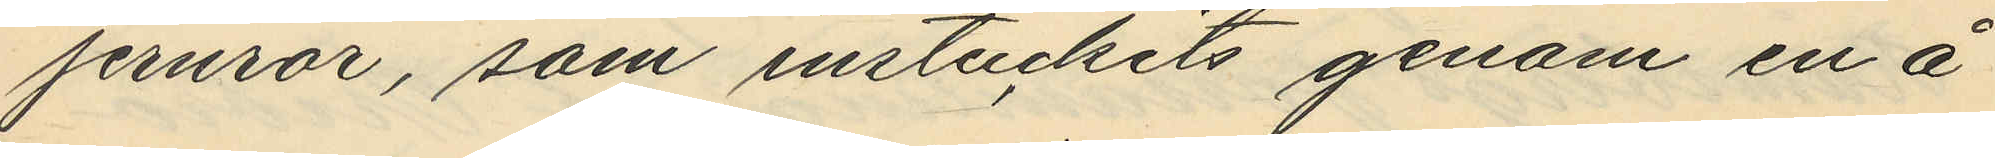jernror, som instuckits genom en å
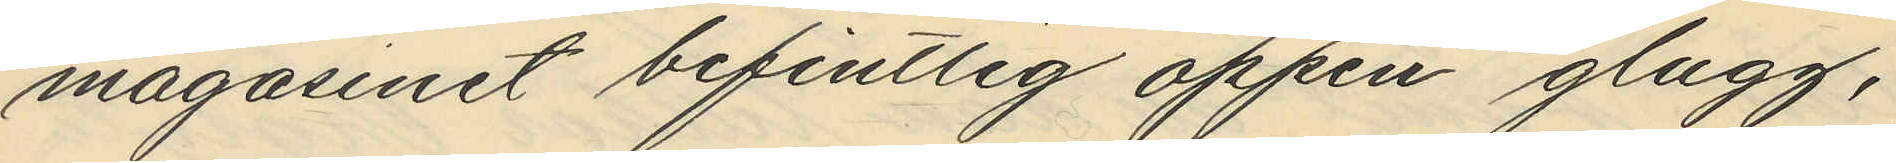magasinet befintlig öppen glugg,
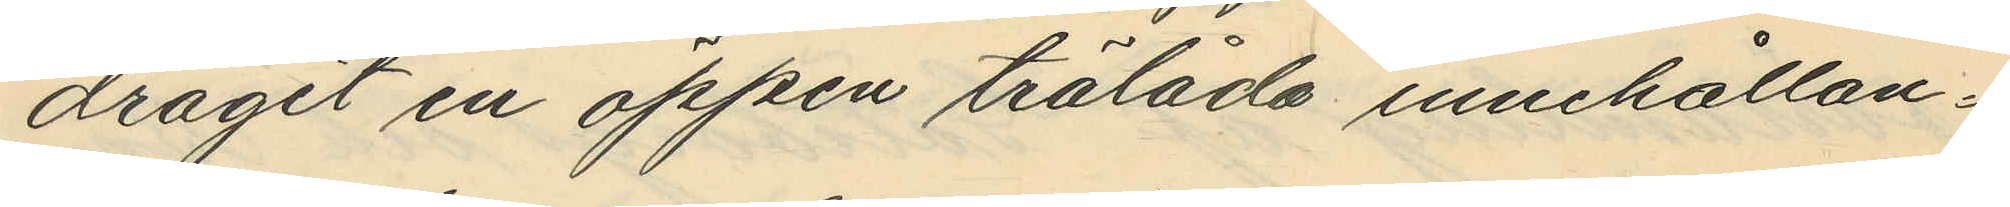dragit en öppen trälåda innehållan¬
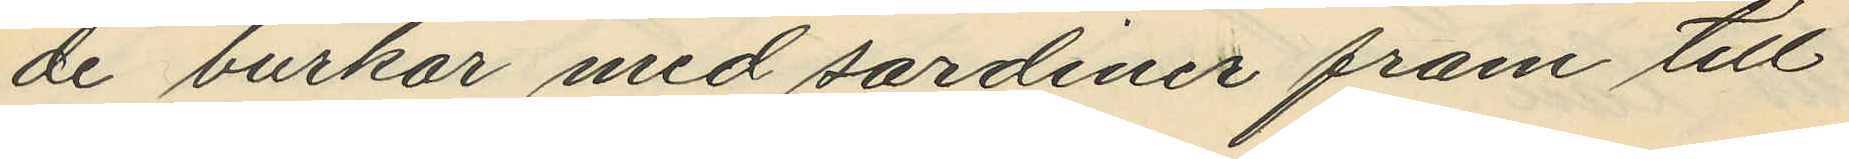de burkar med sardiner fram till
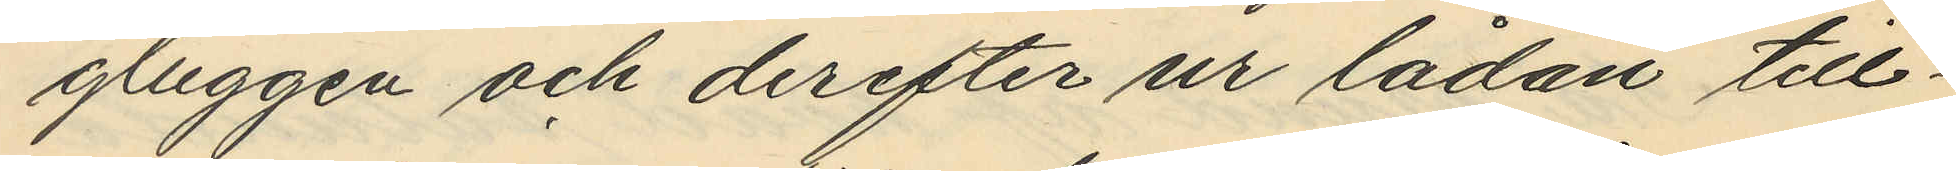gluggen och derefter ur lådan till¬
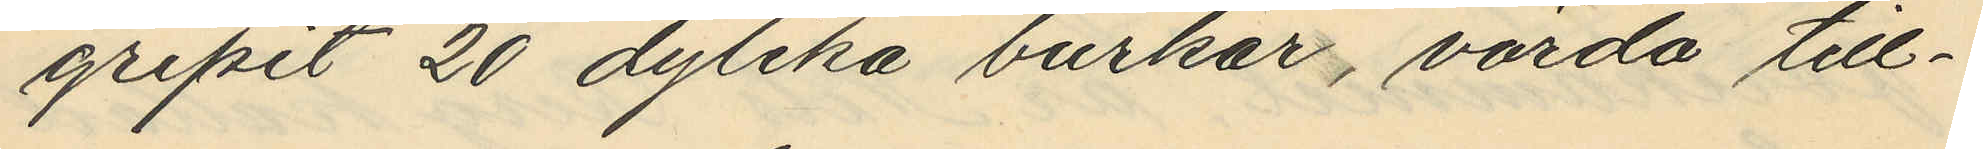gripit 20 dylika burkar, värda till¬
